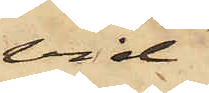vid
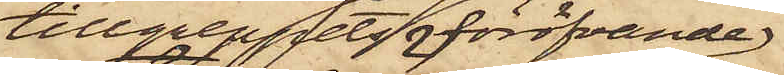tillgreppets föröfvande
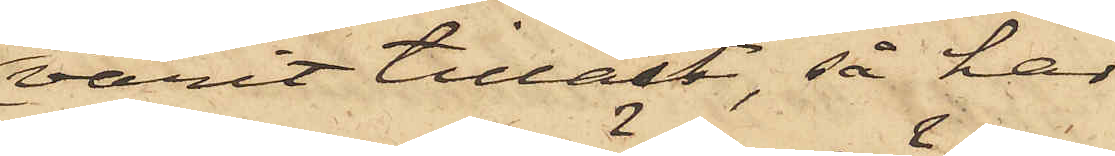varit tillåst, så har
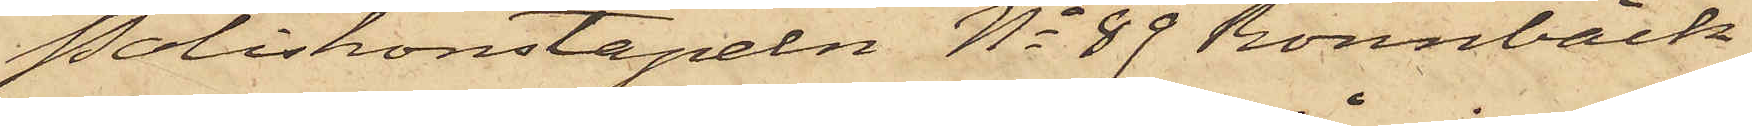Poliskonstapeln No 89 Rönnbäck
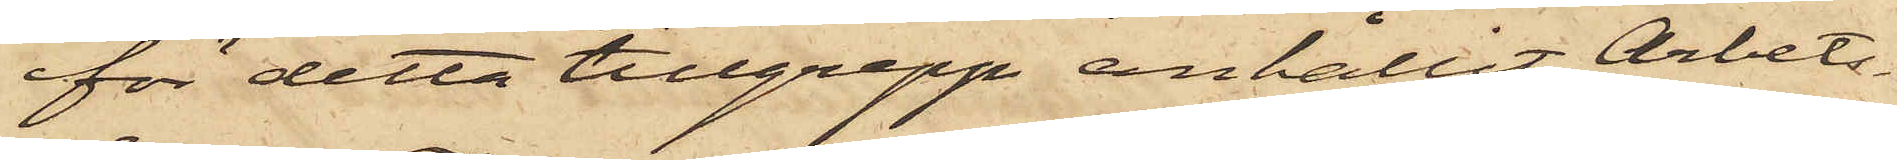för detta tillgrepp anhållit Arbets¬
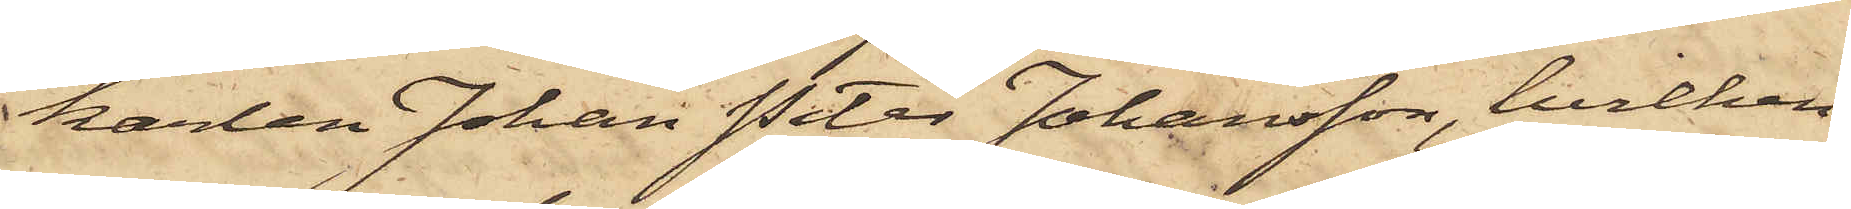karlen Johan Peter Johansson, hvilken
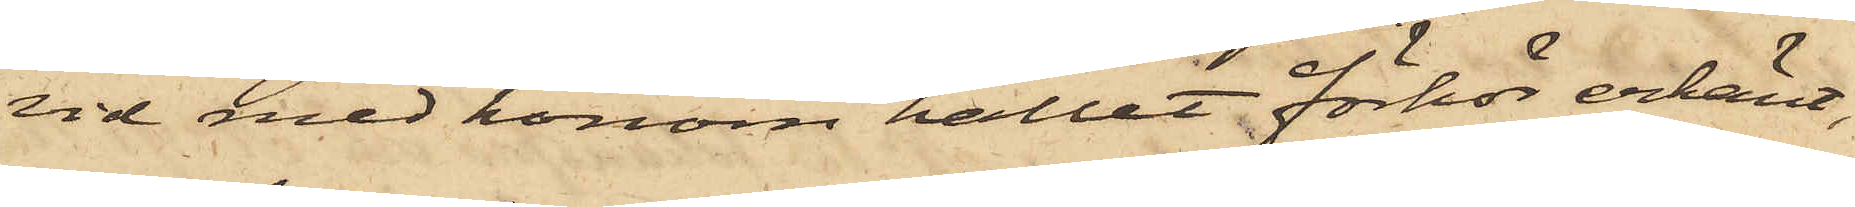vid med honom hållet förhör erkänt,
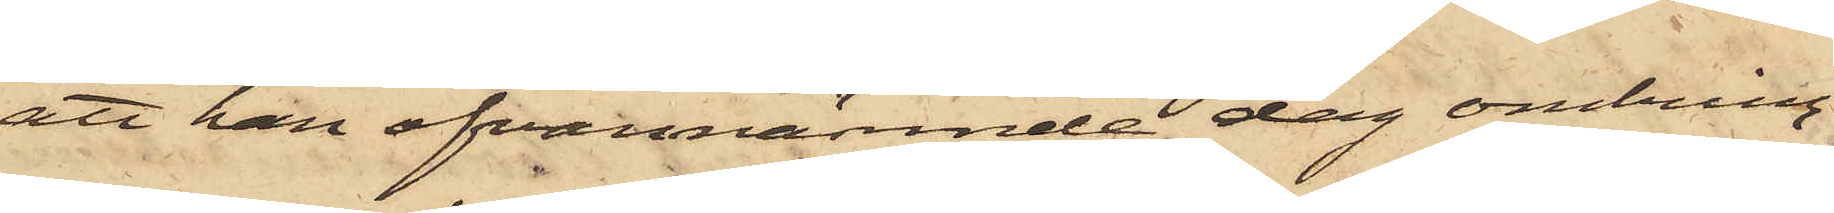att han ofvannämnde dag omkring
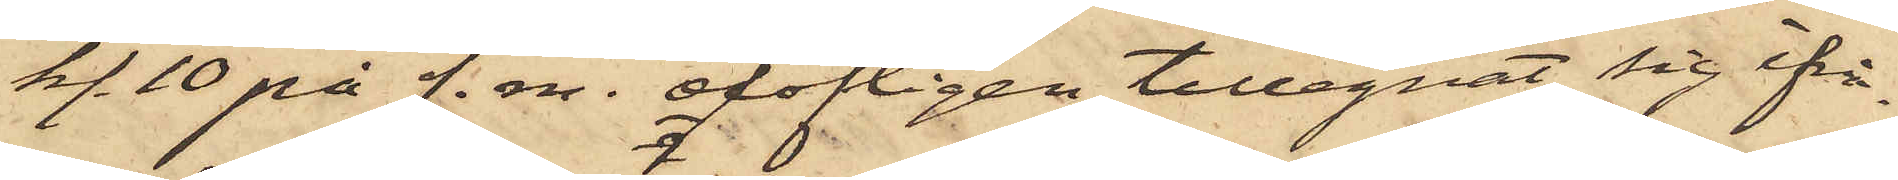kl. 10 på f. m. olofligen tillegnat sig ifrå¬
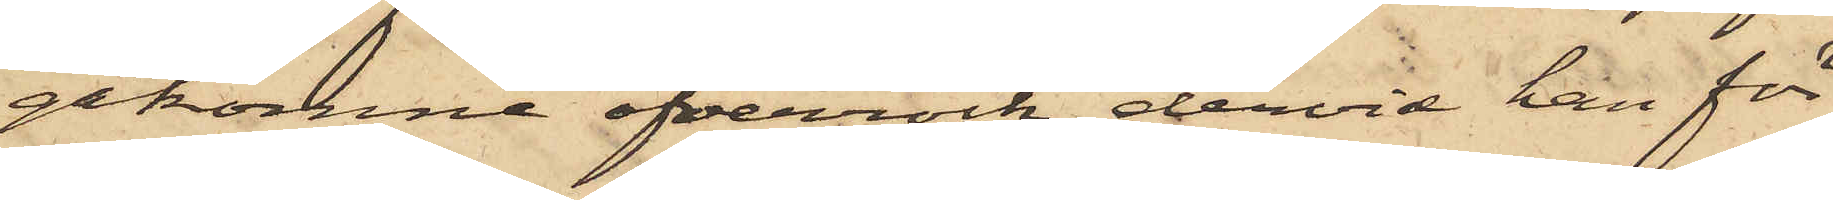gakomne öfverrock, dervid han för
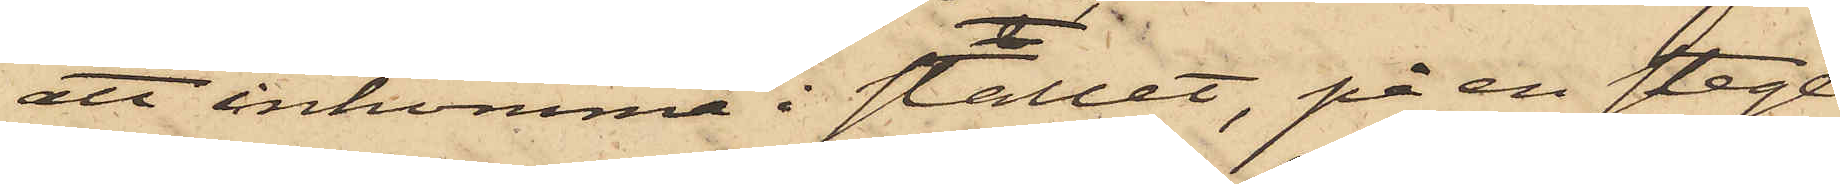att inkomma i stallet, på en stege
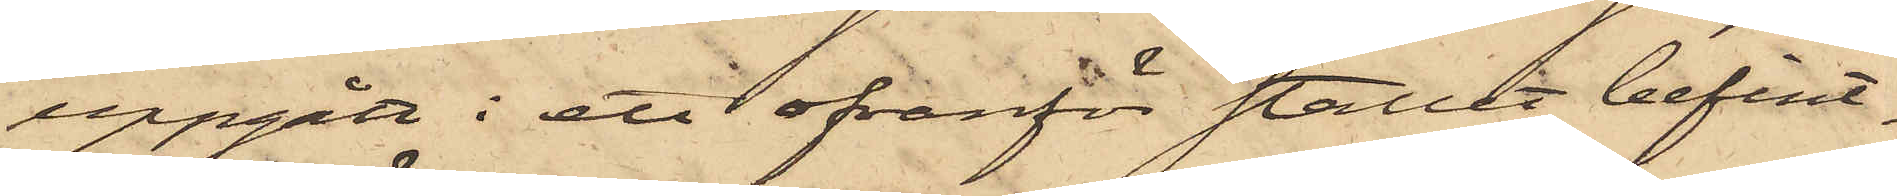uppgått i ett ofvanför stallet befint¬
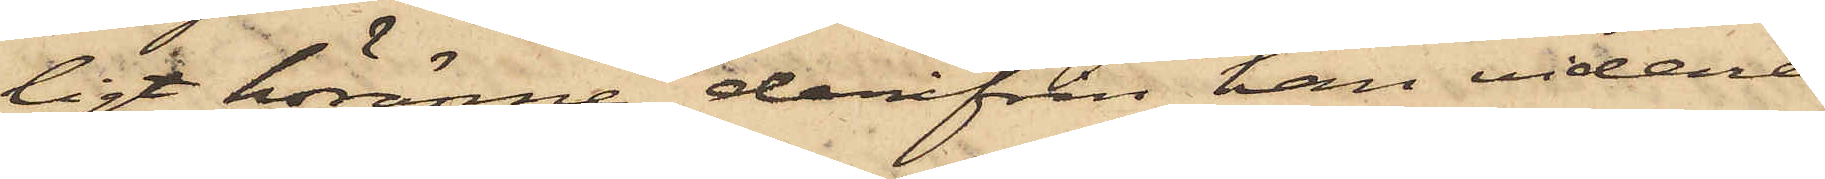ligt höränne, derifrån han vidare
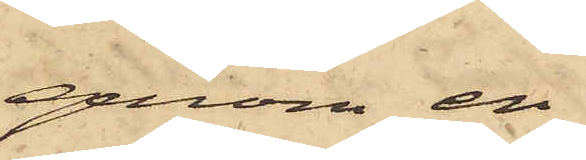genom en
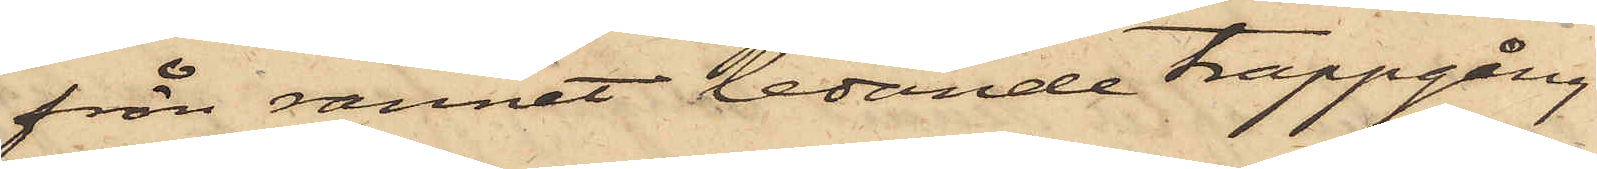från rännet ledande trappgång
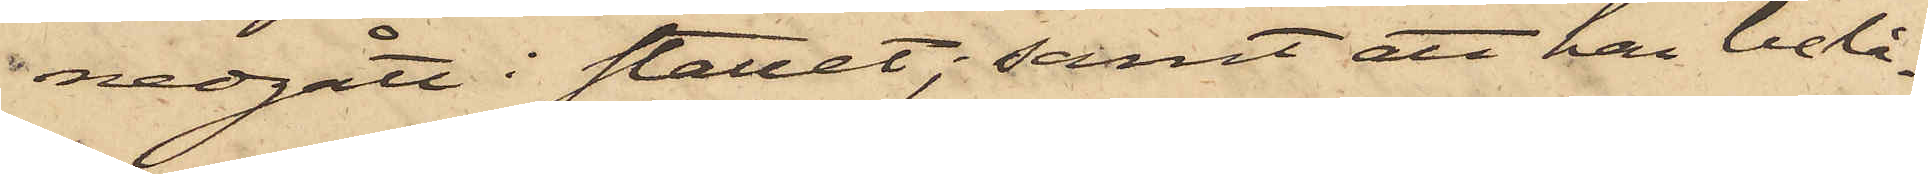nedgått i stallet; samt att han belå¬
